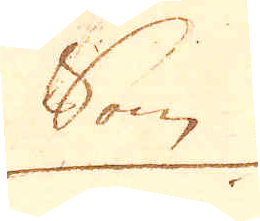Som
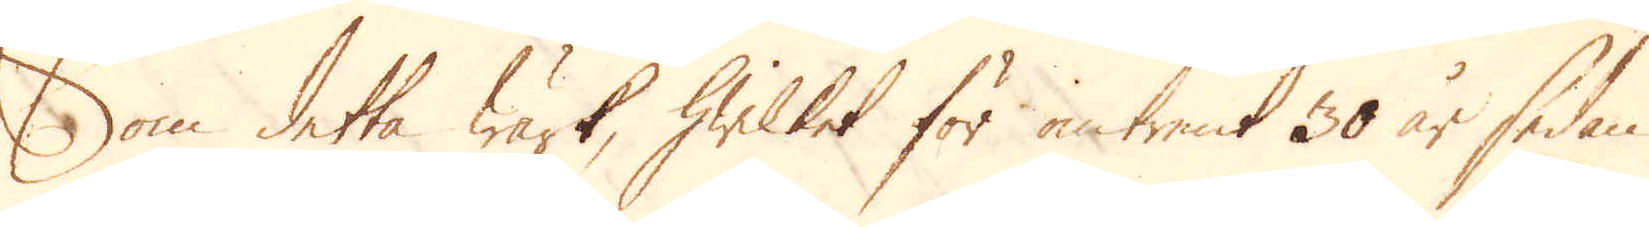Som detta Wärk, hwilket för omtrent 30 år sedan
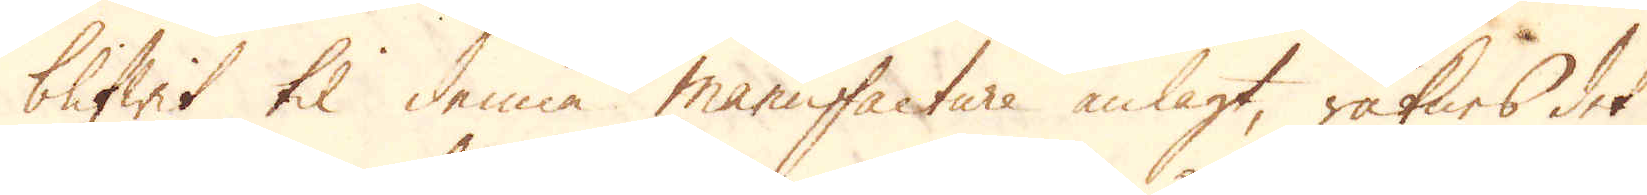blifwit til denne manufacture anlagt, räknes det
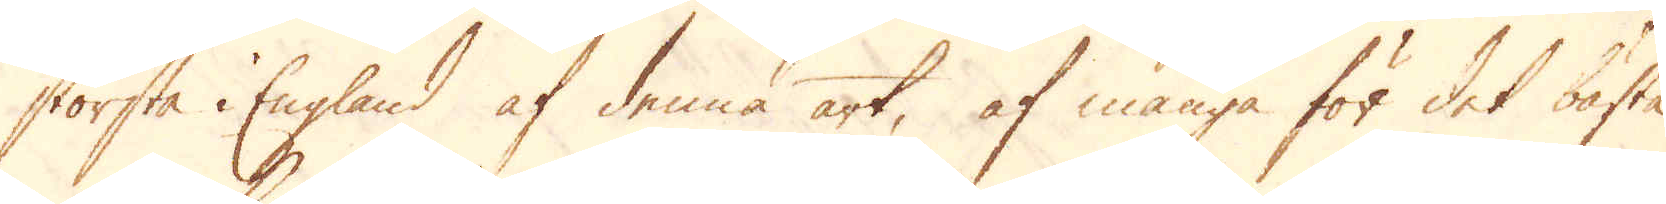största i England af denna art, af många för det bästa
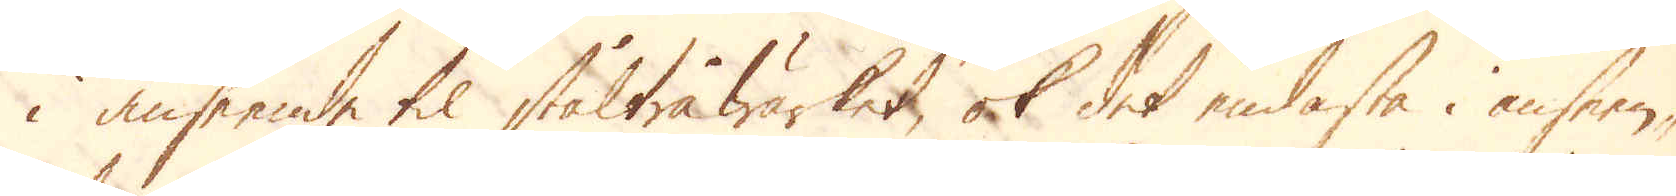i anseende til ståltråwärket, ok det endaste i anseen-
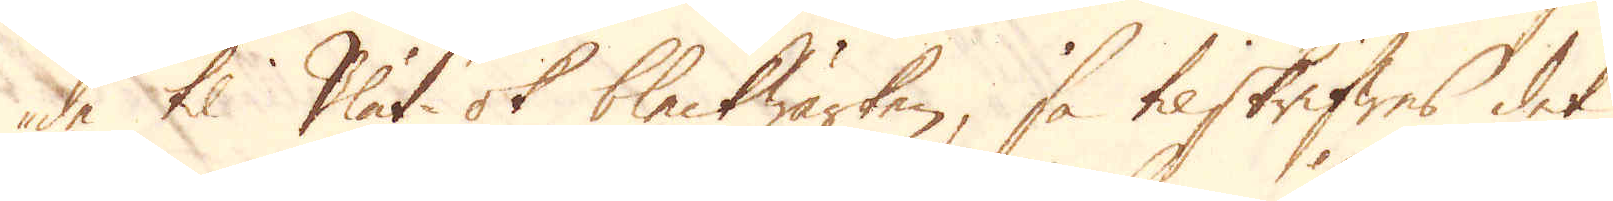de til Plåt- ok bleckwärken, så tilskrifwes det
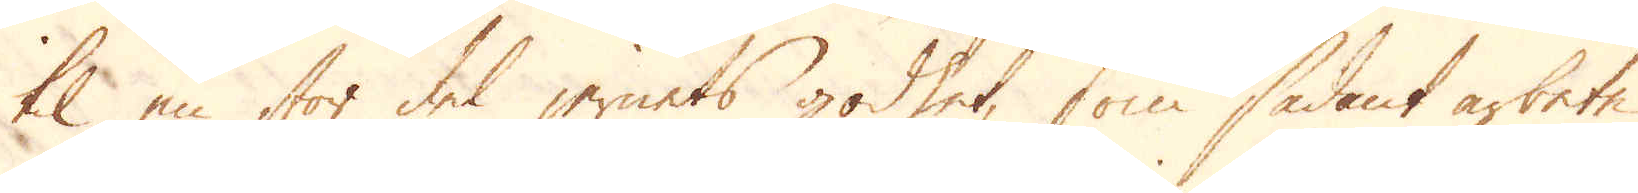til en stor del jernets godhet, som sådant arbete
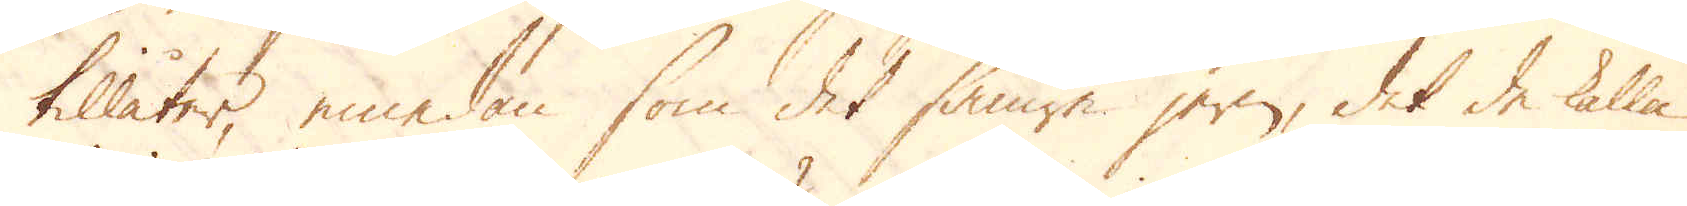tillåter, emedan som det sämre jern, det de kalla
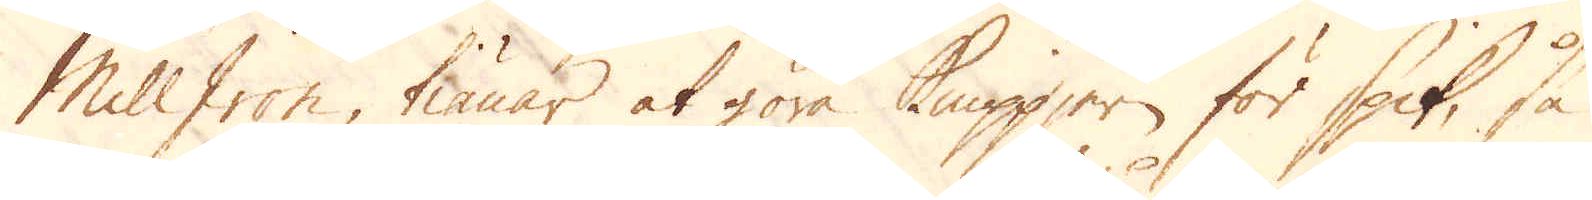Mill Iron, tiänar at göra Knippjern för Spik, så
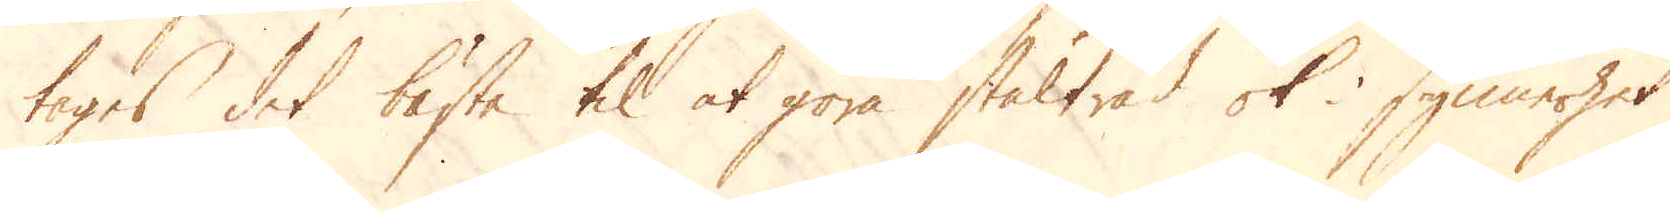tages det bäste til at göra ståltråd ok i synnerhet
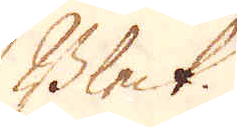Bleck.
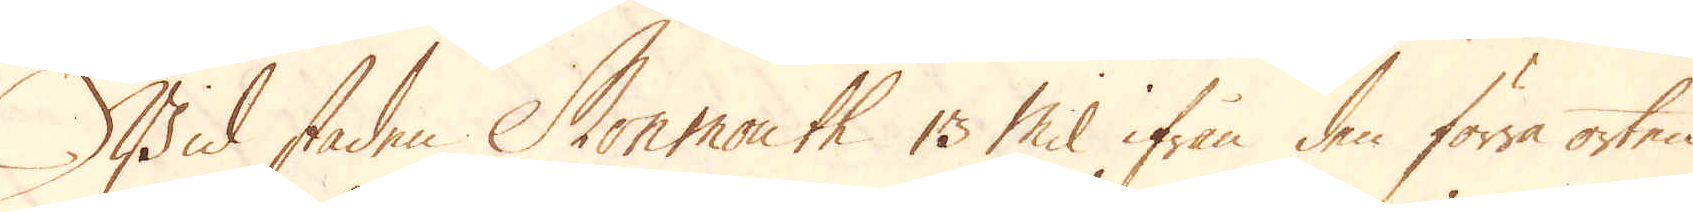Wid staden Monmouth 13 Mil ifrån den förra orten
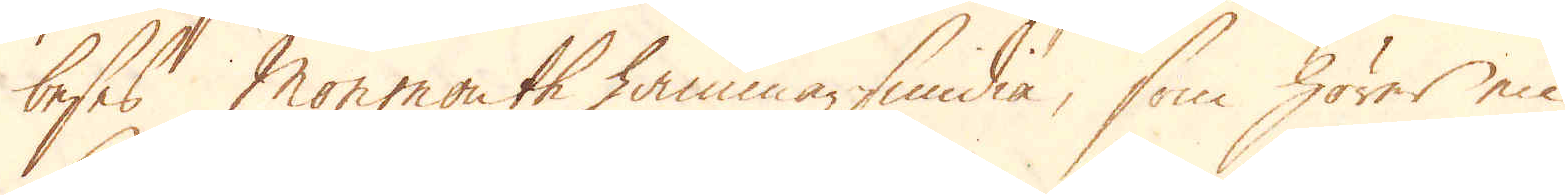beses Monmouth hemmarsmidia, som hörer en
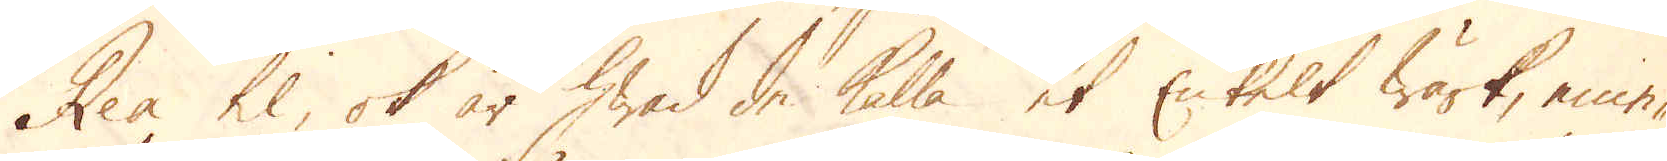Rea til, ok är hwad de kalla et Enkelt Wärk, eme-
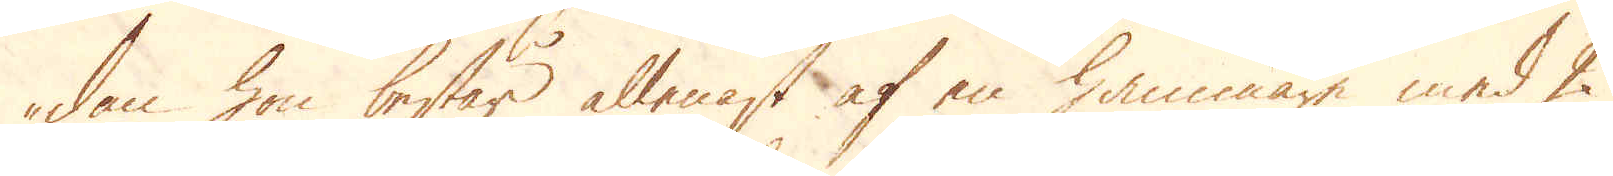dan hon består allenast af en hammare med 2
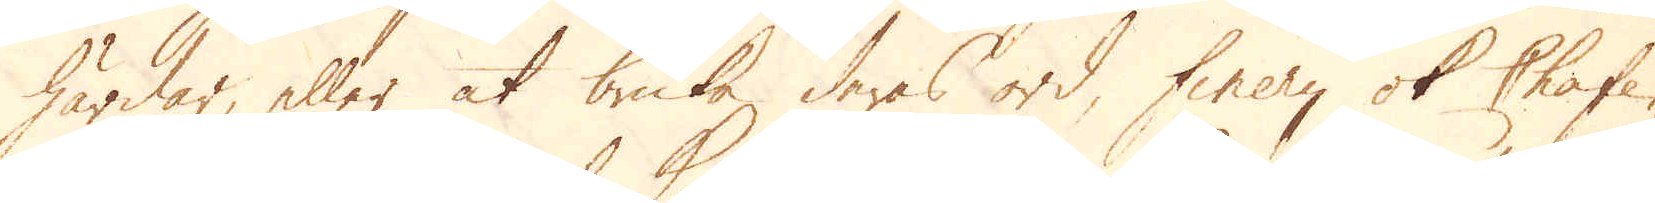härdar, eller at bruka deras ord, finery ok Chafe-
